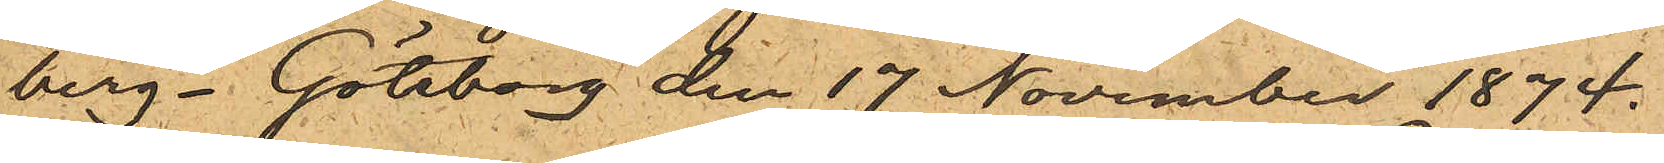berg. Göteborg den 17 November 1874.
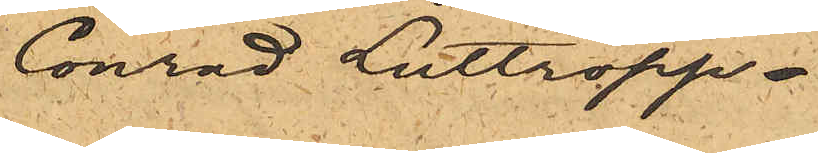Conrad Luttropp
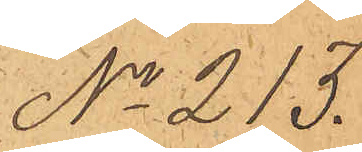No 213.
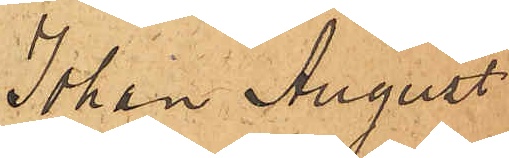Johan August
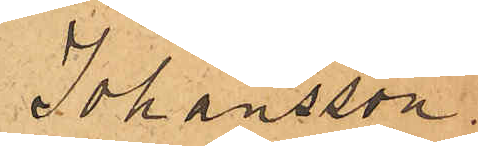Johansson.
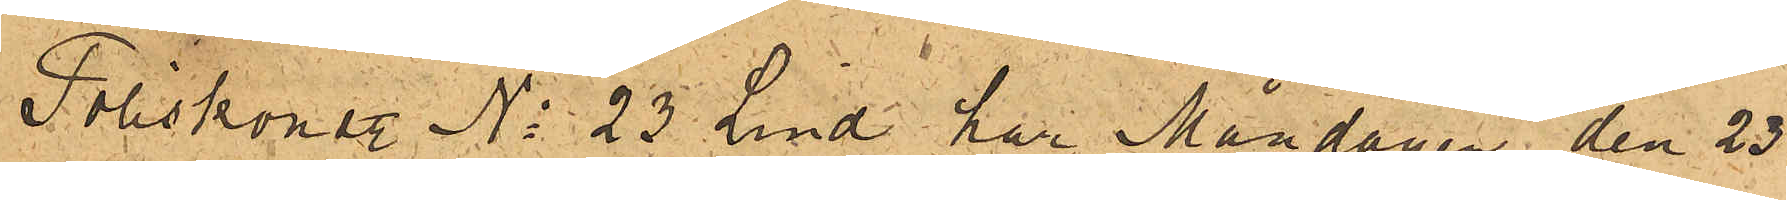Poliskonstl No 23 Lind har Måndagen den 23
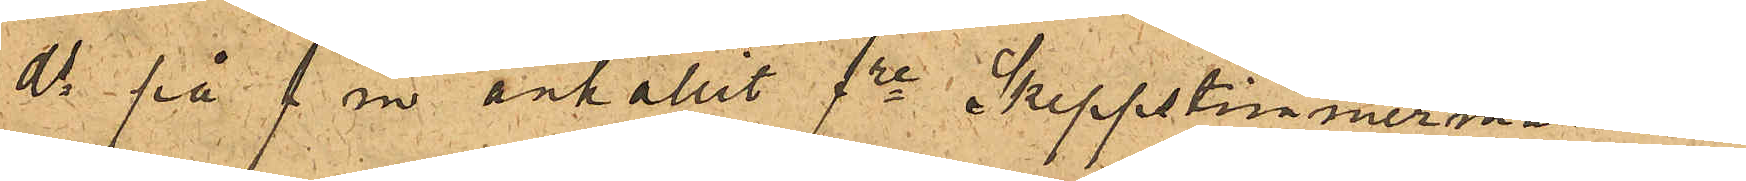ds på f.m. anhållit fre Skeppstimmermannen
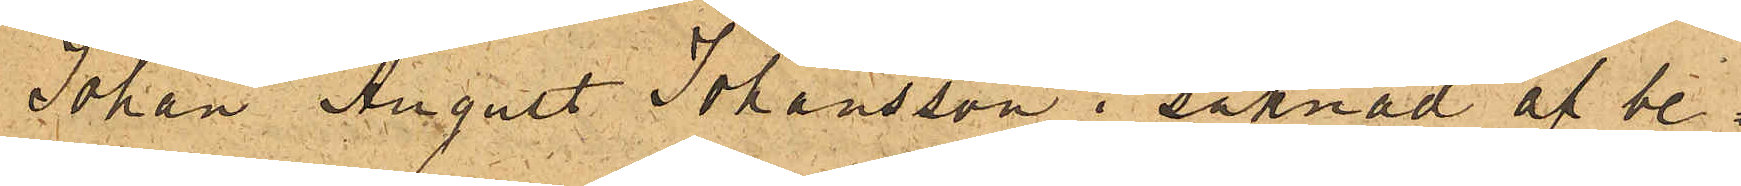Johan August Johansson i saknad af be¬
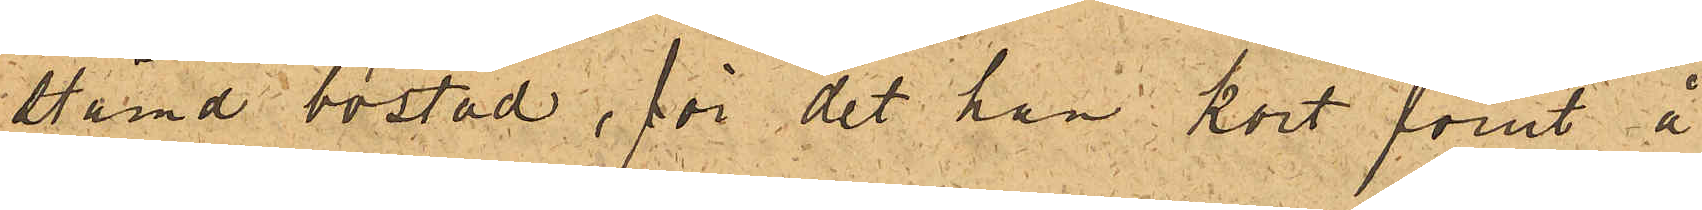sämd bostad, för det han kort förut å
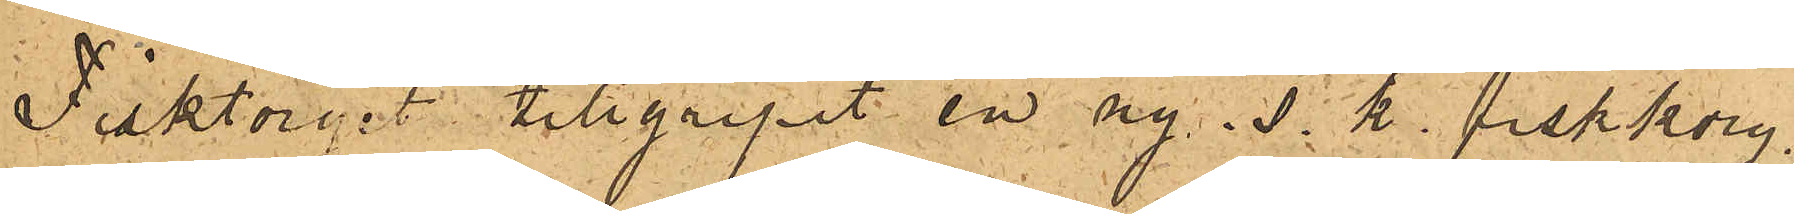Fisktorget tillgripit en ny s. k. fiskkorg,
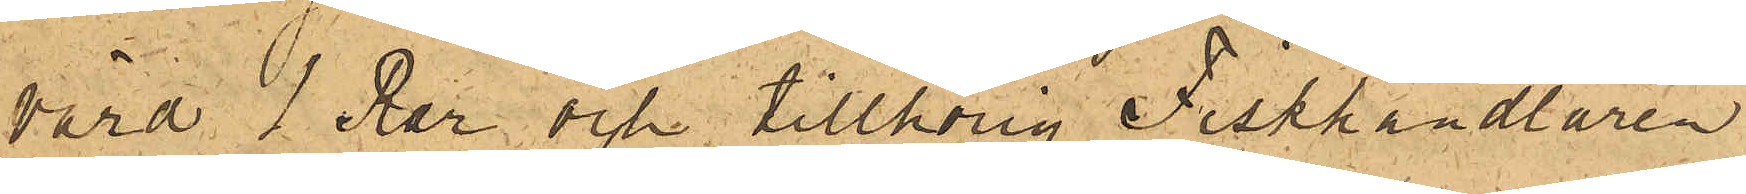värd 1 Rdr och tillhörig Fiskhandlaren
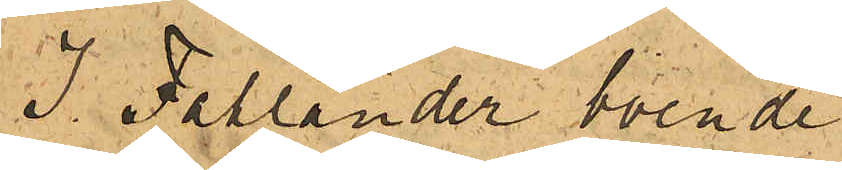J. Fallander boende
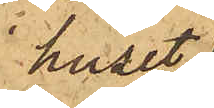huset
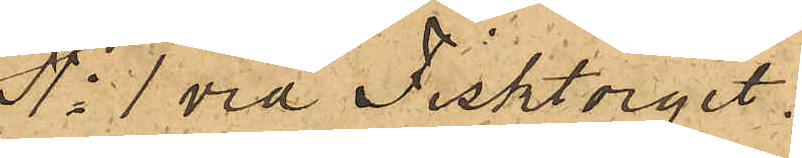No 1 vid Fisktorget.
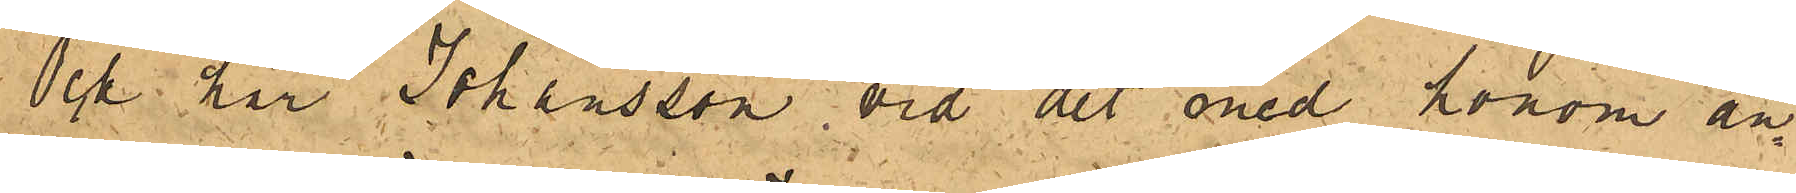Och har Johansson, vid det med honom an¬
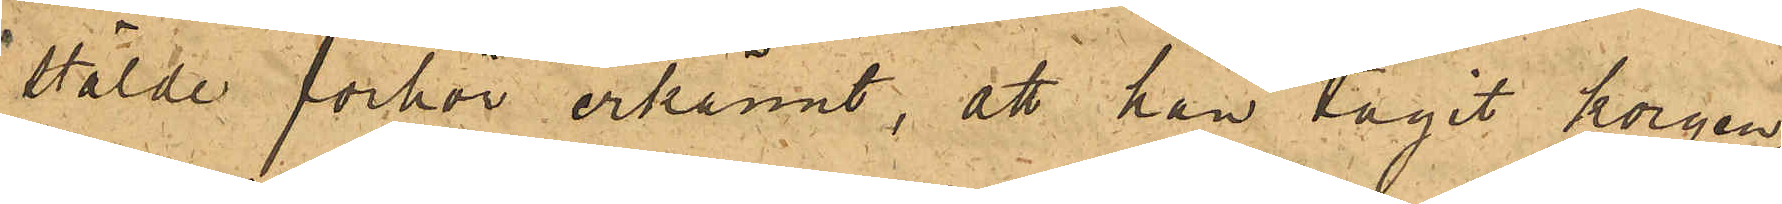stälde förhör erkännt, att han tagit korgen,
